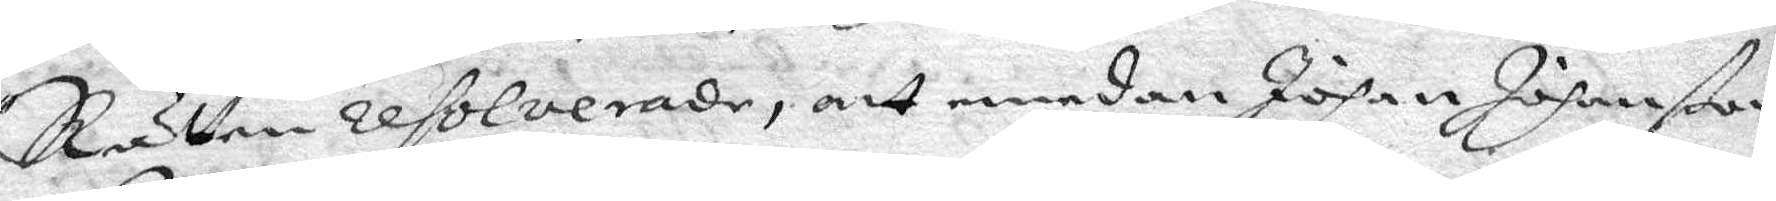Rätten resolverade, att emedan Johan Johanßon
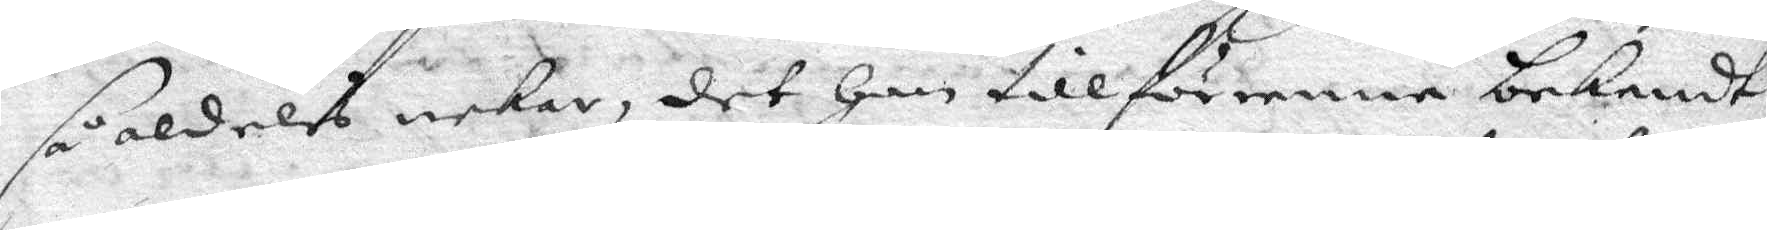så aldels nekar, det han tillförene bekendt
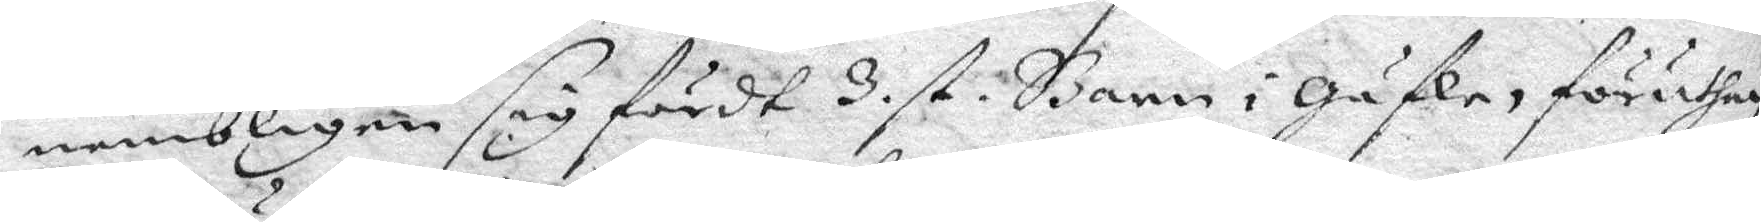nembligen sig fördt 3 st. Barn i Gäfle, föruthan
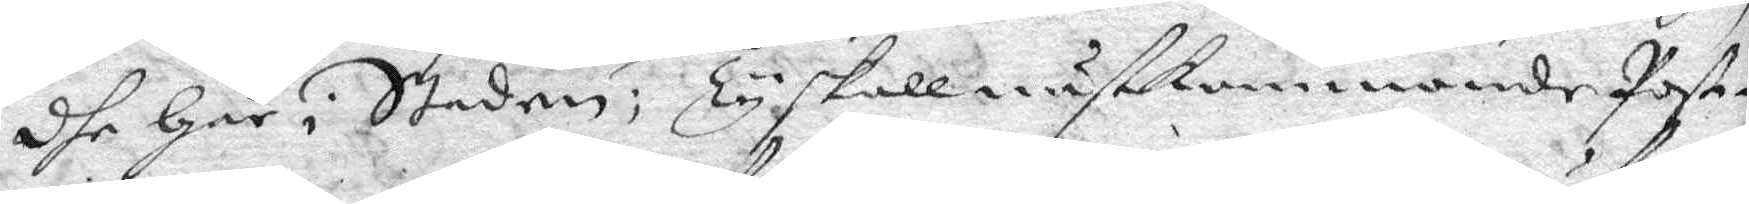dhe Här i Staden; Ty skall nästkommande Poste¬
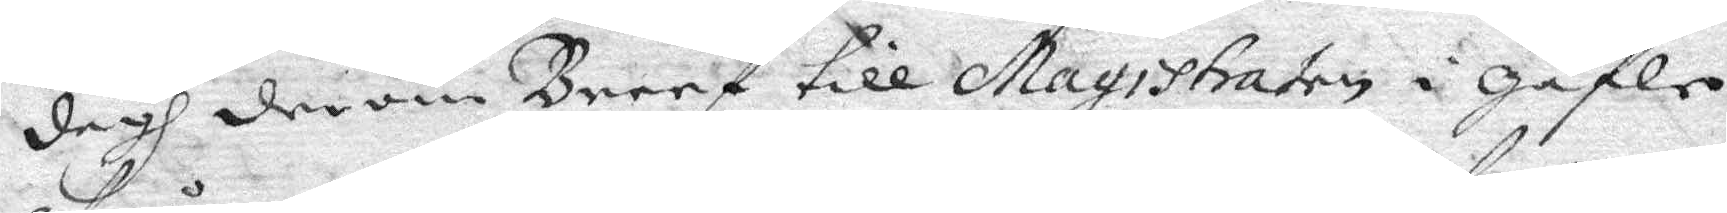dagh derom Breef till Magistraten i Gäfle
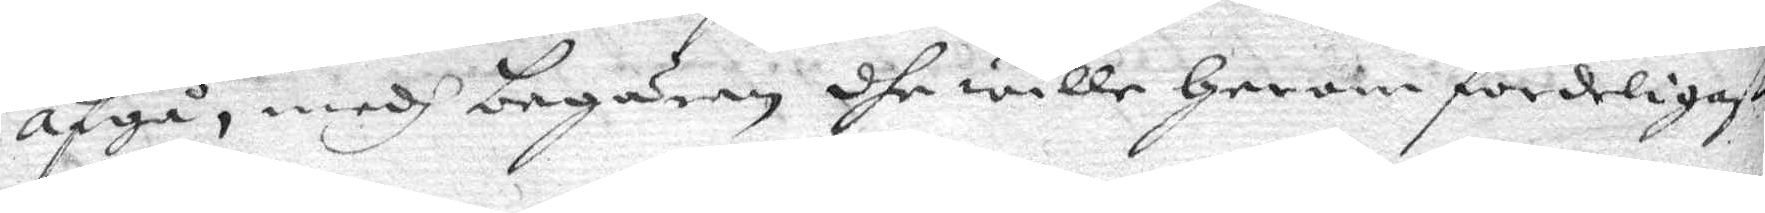afgå, medh begäran dhe wille Herom fordeligaste
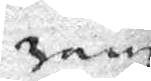ran
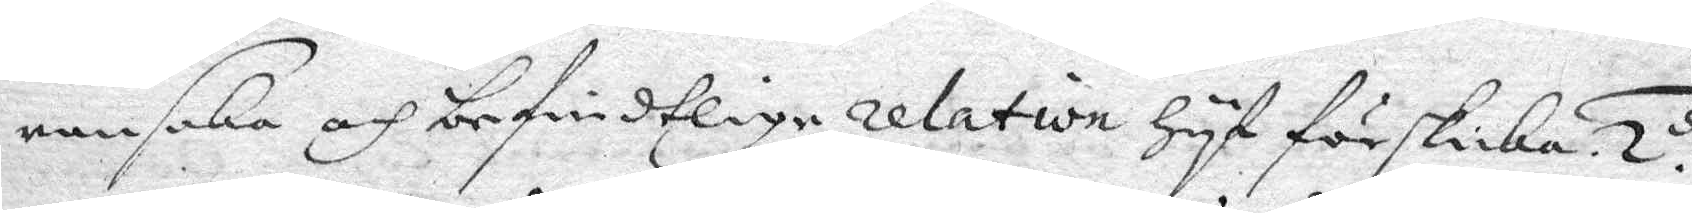ransaka och befindtlige relation Hyf förskicka. 2.do
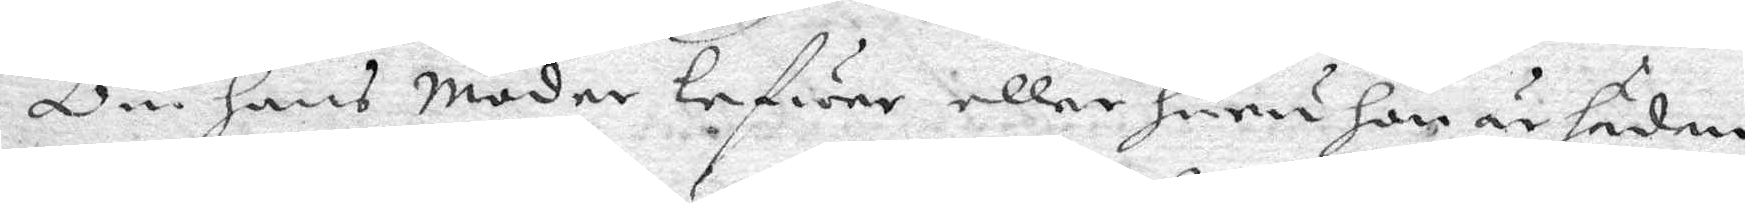Om hans Moder lefwer eller huru hon är hädan¬
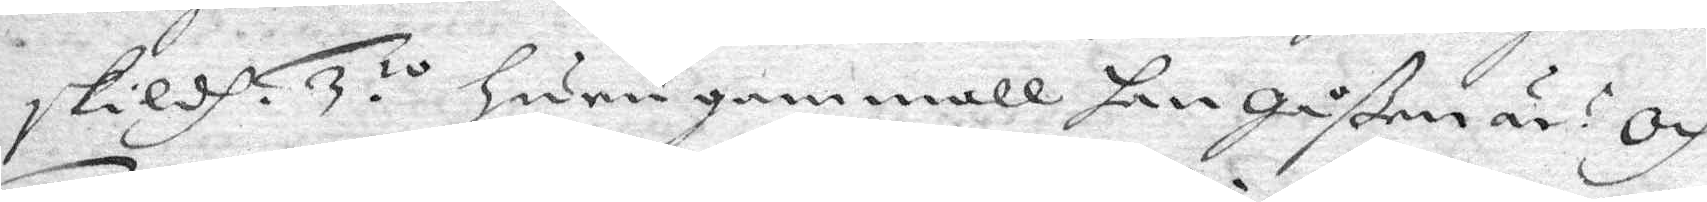skildh. 3.io Huru gammall han Gåßen är? Och
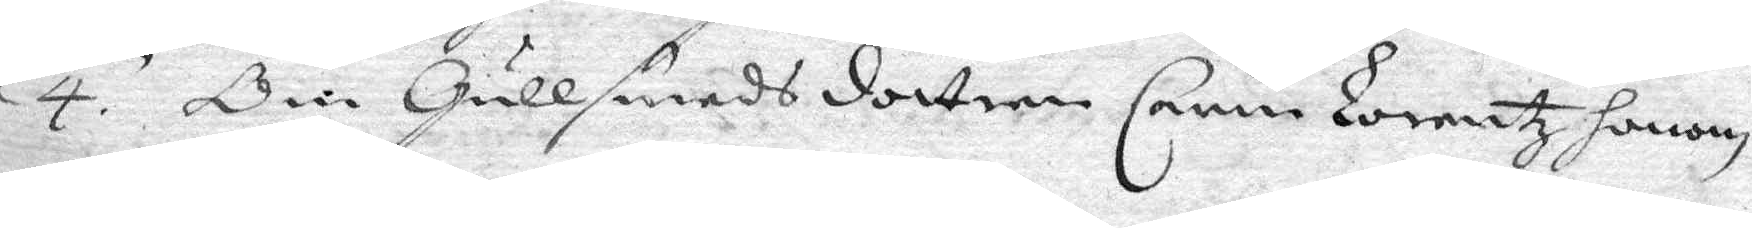4. Om Gullsmeds dottern Carin Lorentz Honom
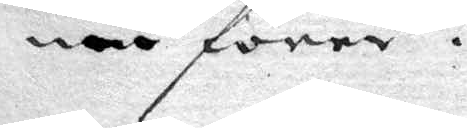nu förer.
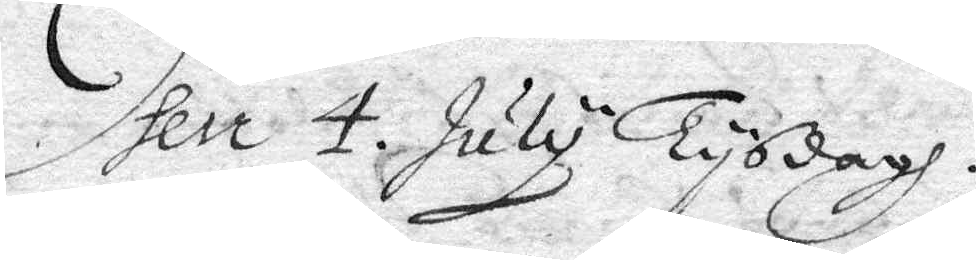Item 4. July Tysdagh.
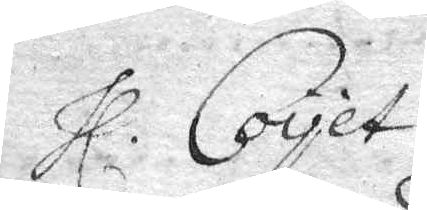Hl. Coyet
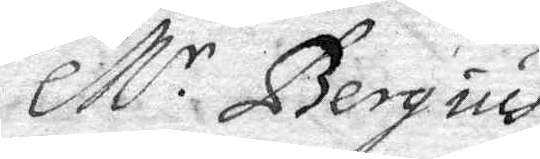M.r Bergius
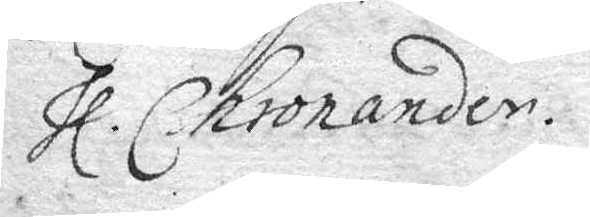Hl. Chronander.
